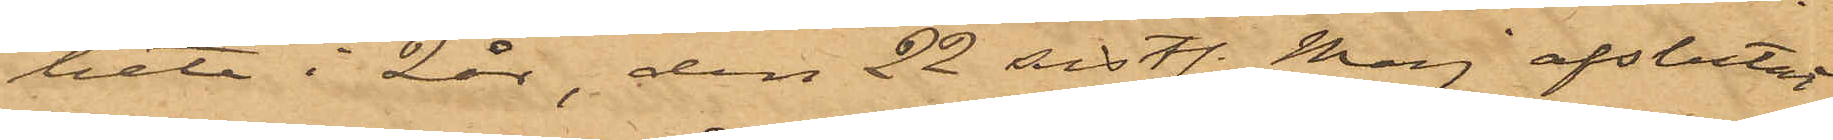bete i 2 år, den 22 sist. Maj afslutat
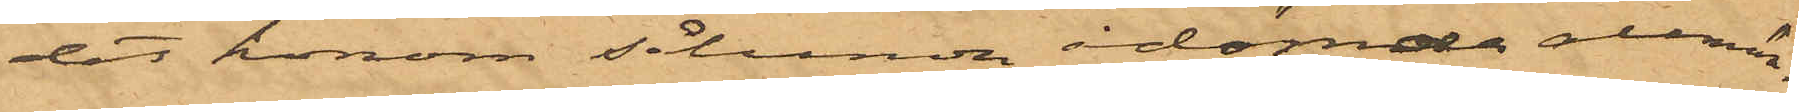det honom sålunda ådömde allmän¬
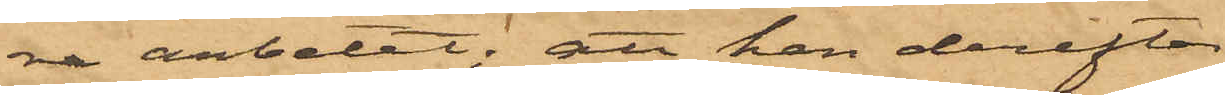na arbetet; att han derefter
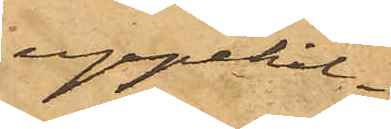uppehål¬
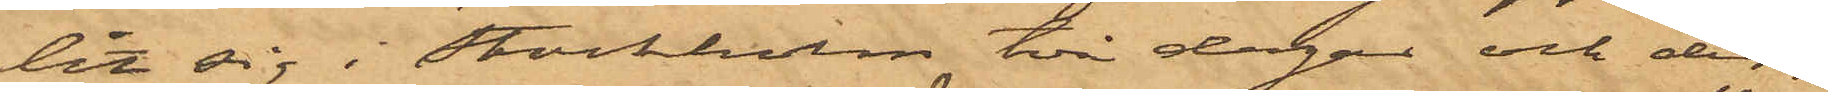lit sig i Stockholm två dagar och der¬
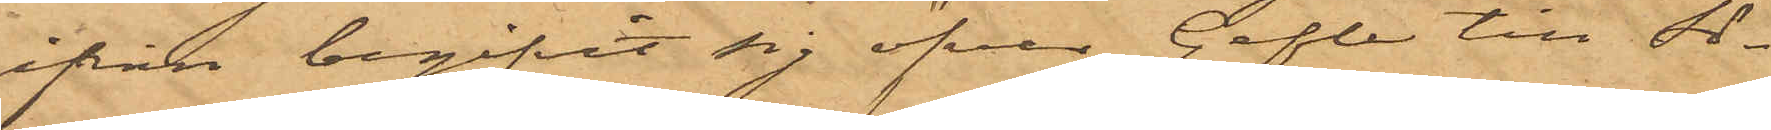ifrån begifvit sig öfver Gefle till Sö¬
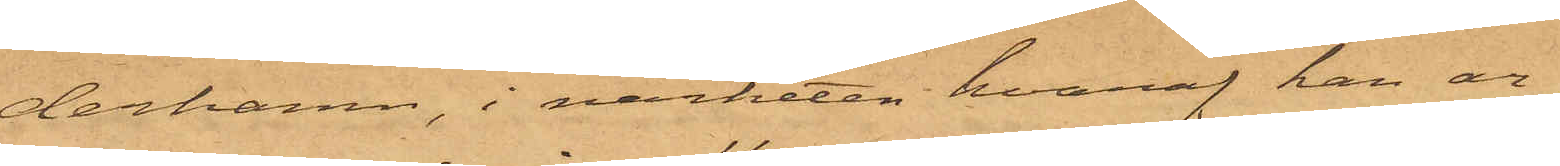derhamn, i närheten hvaraf han ar¬
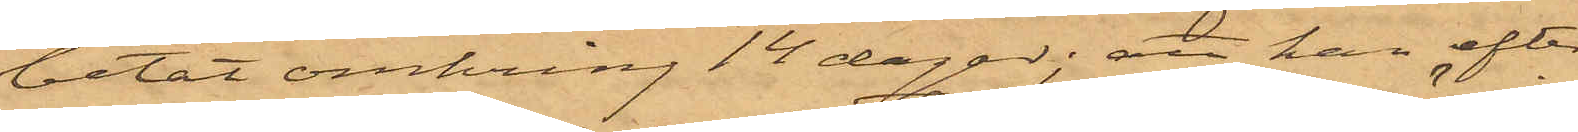betat omkring 14 dagar; att han efter
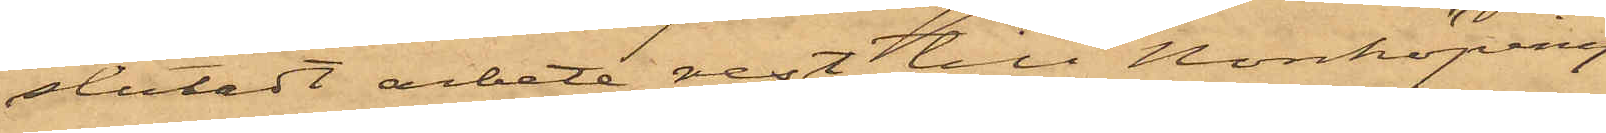slutadt arbete rest till Norrköping
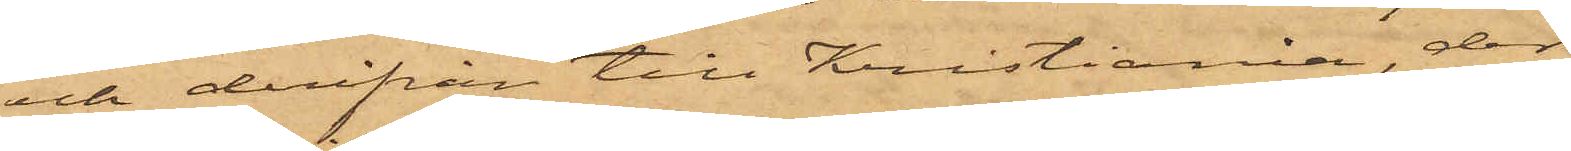och derifrån till Kristiania, der
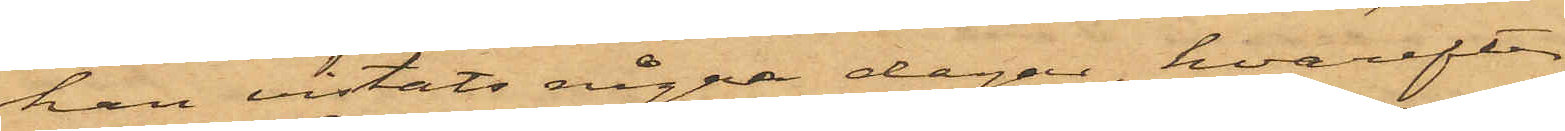han vistats några dagar, hvarefter
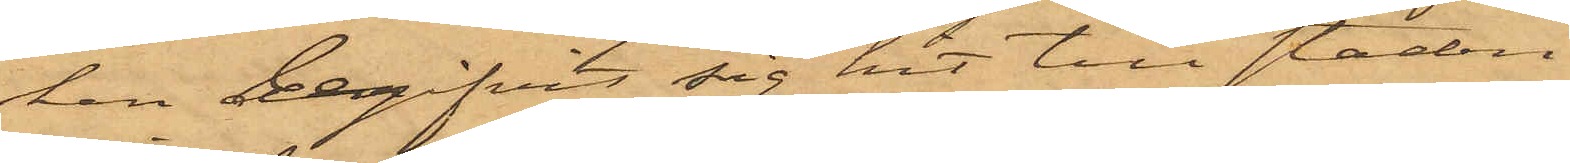han begifvit sig hit till staden
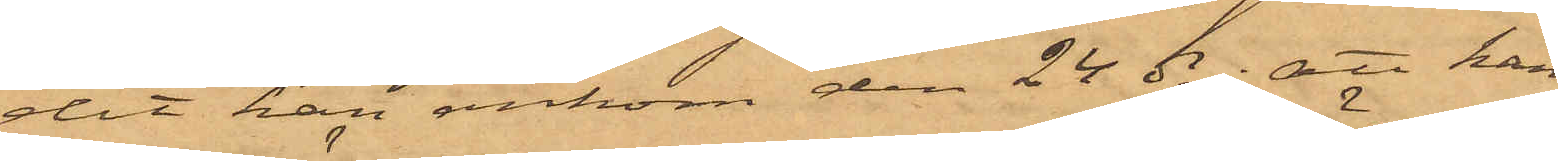dit han ankom den 24 ds; att han
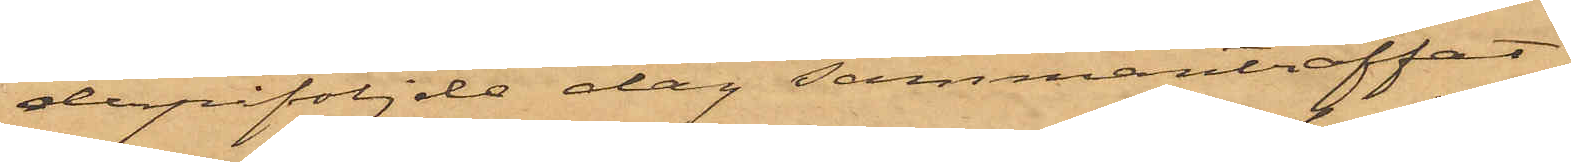derpåföljde dag sammanträffat
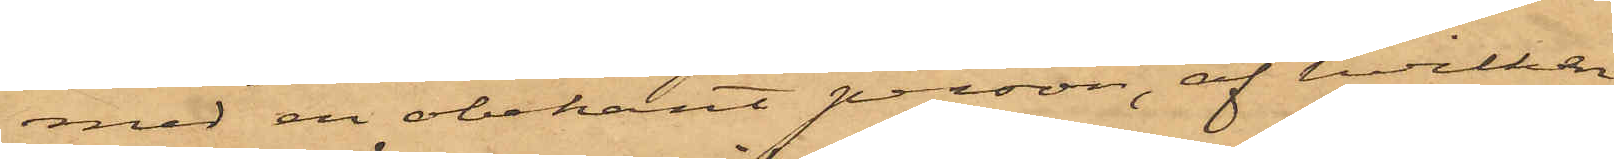med en obekant person, af hvilken
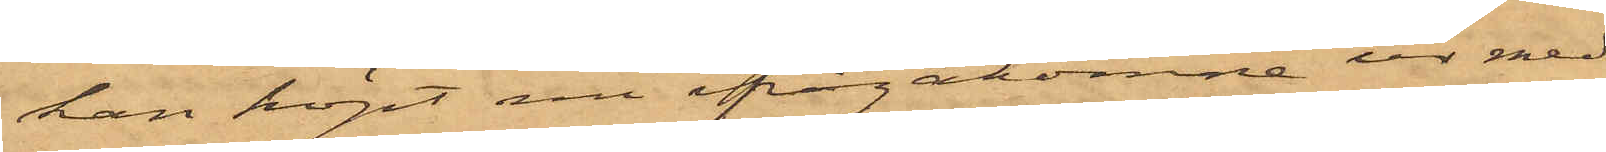kan köpt nu ifrågakomne ur med
